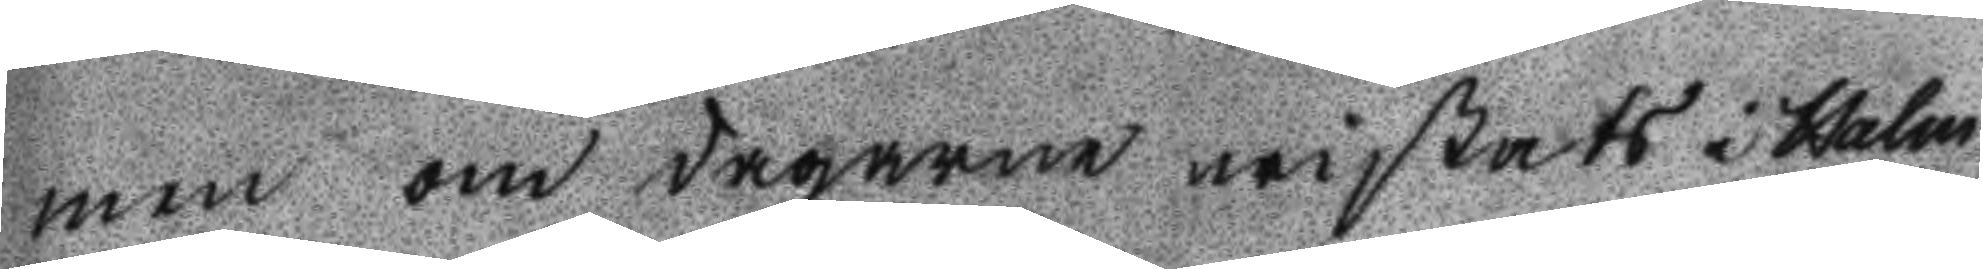men om dagarne wistats i Holm
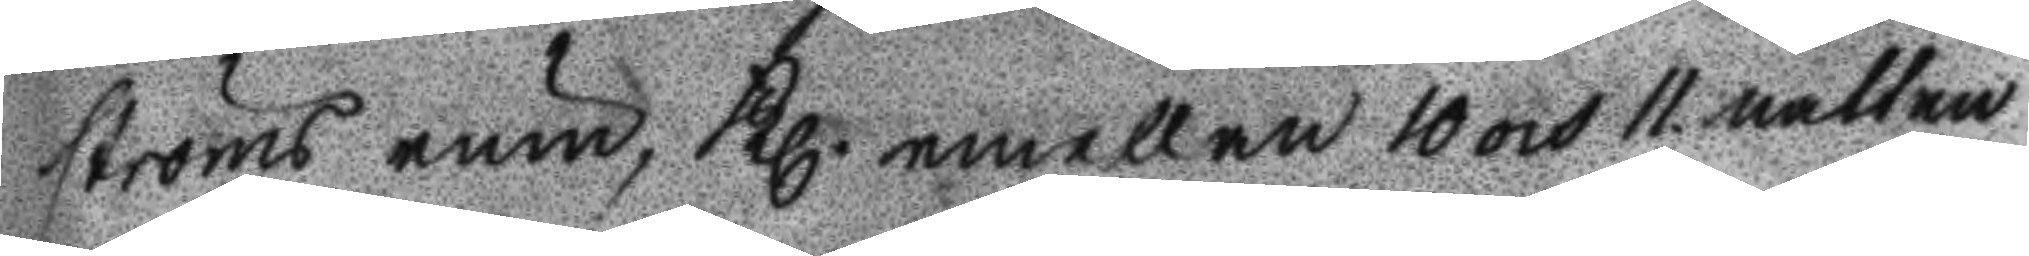ströms rum. Kl. emellan 10 och 11 natten
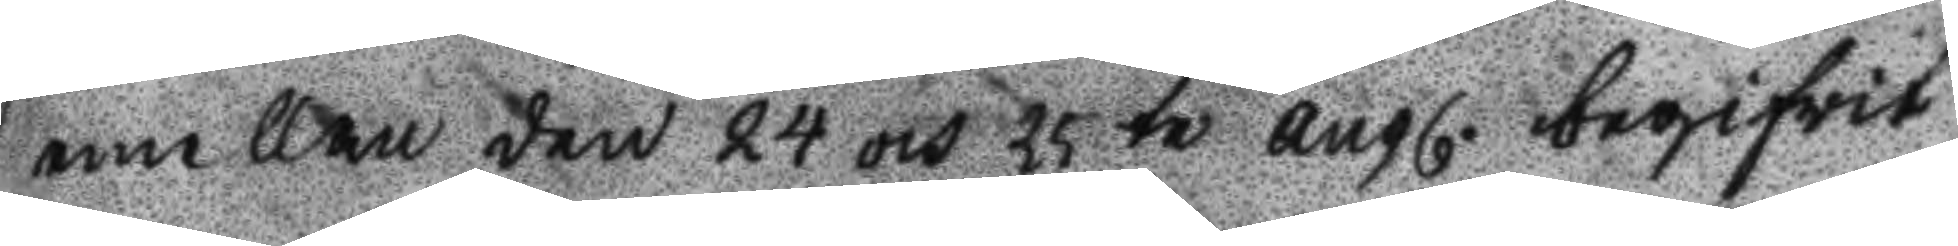emellan den 24 och 25 te augl. begifwit
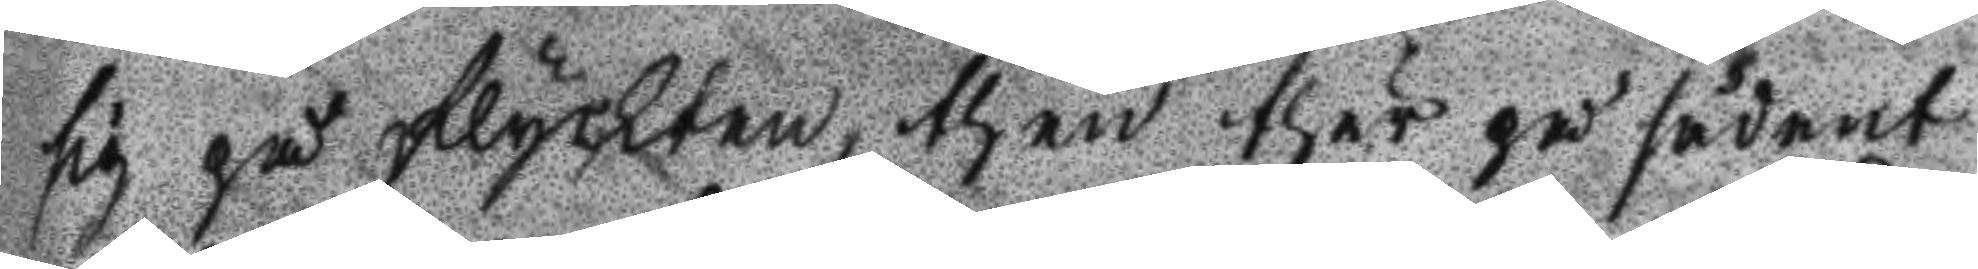sig på flyckten, then thär på sådant
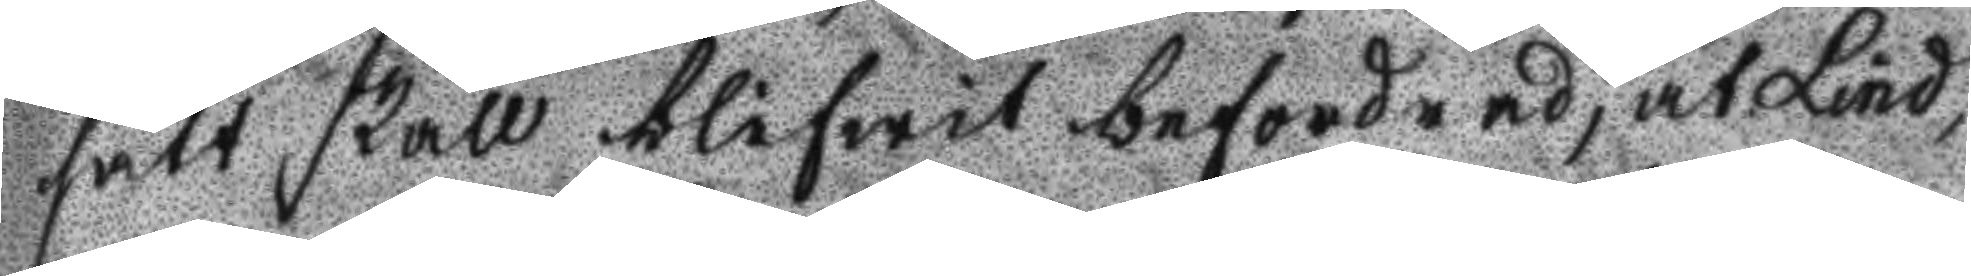sätt skall blifwit befordrad, at Lind,
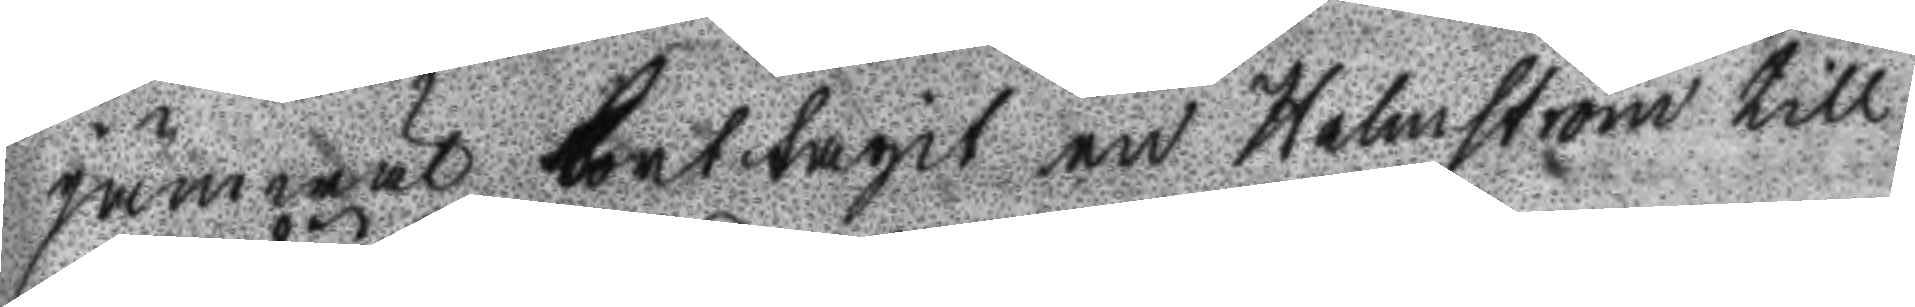jämwäl borttagit en Holmström till
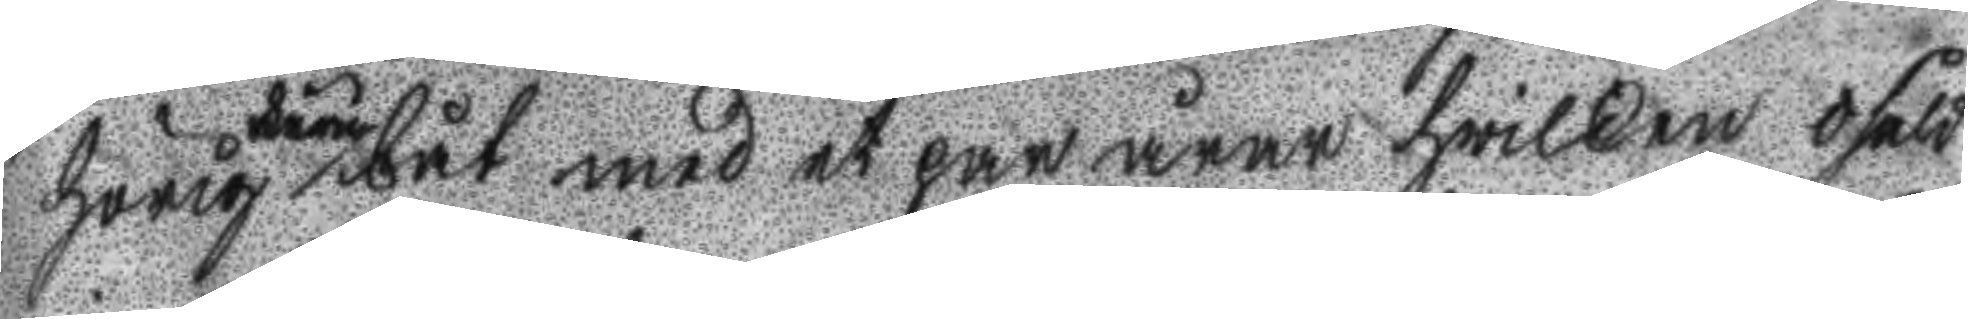hörig båt med et par åror hwilken ofeld
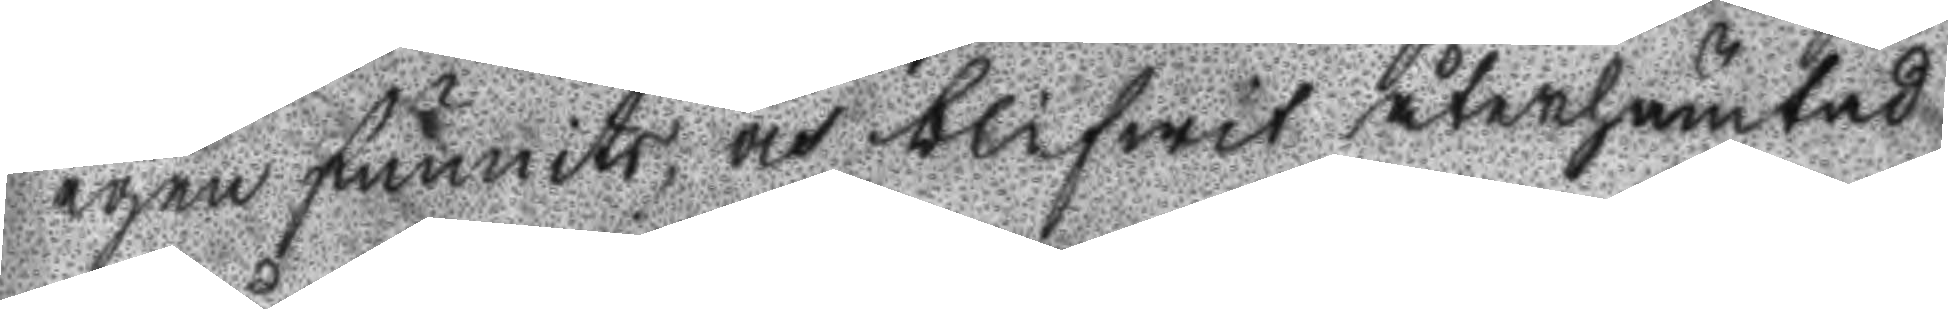igen funnit, och blifwit återhämtad
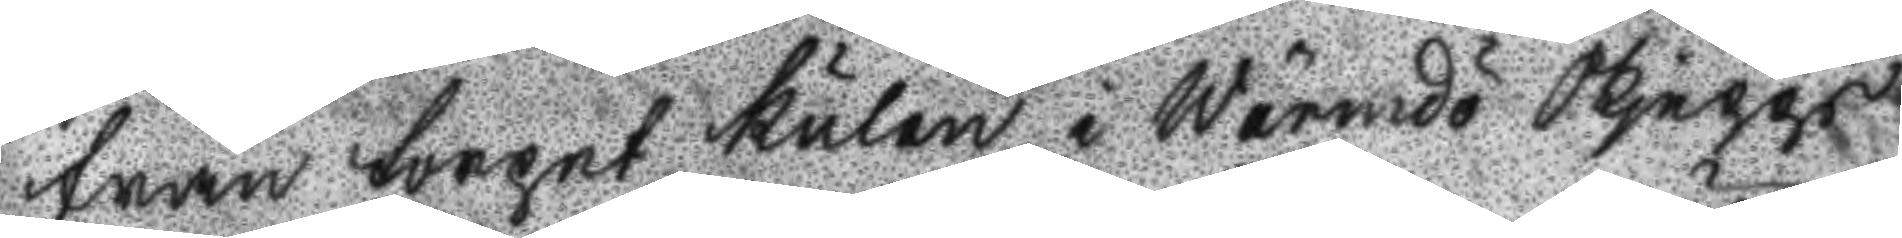från torget Kulan i Wärmdö Skepps
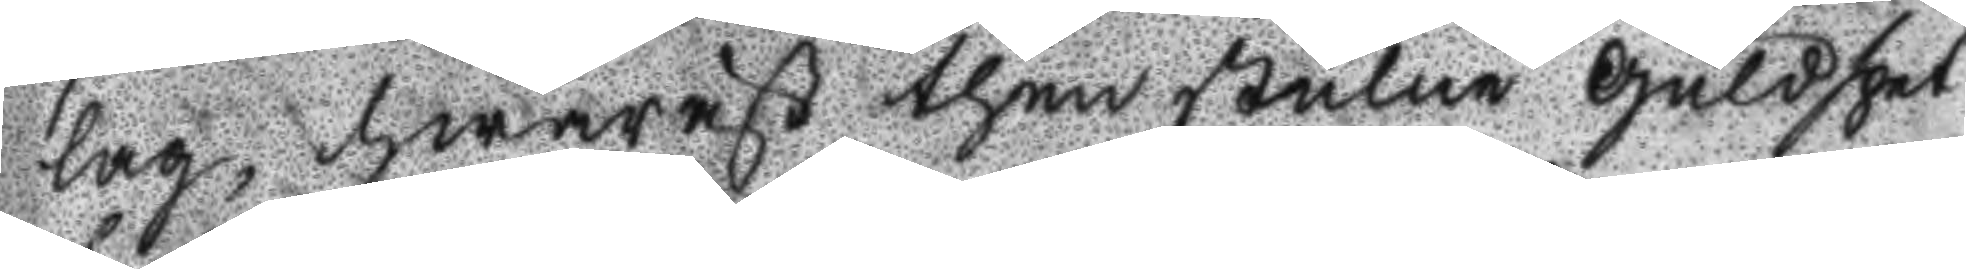lag, hwaräst then stulne guldspet
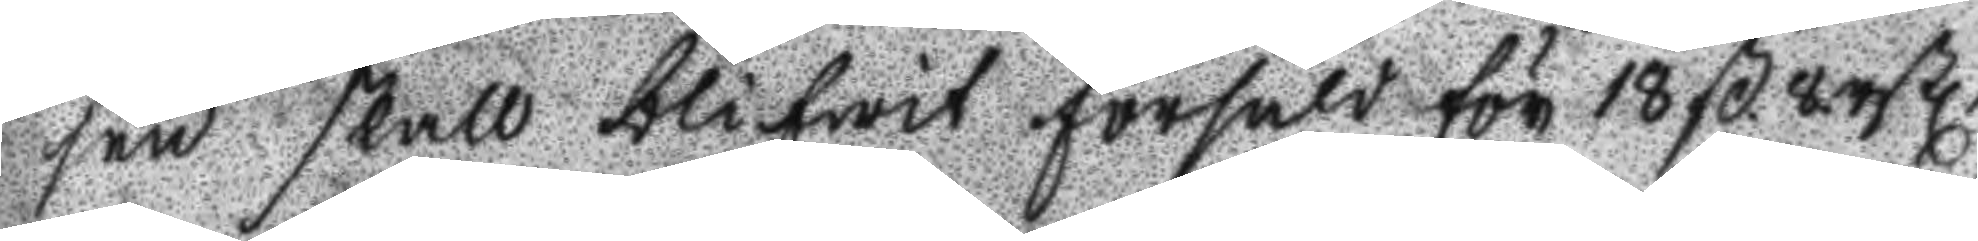sen skall blifwit försåld för 18 ß. 8 rßl.
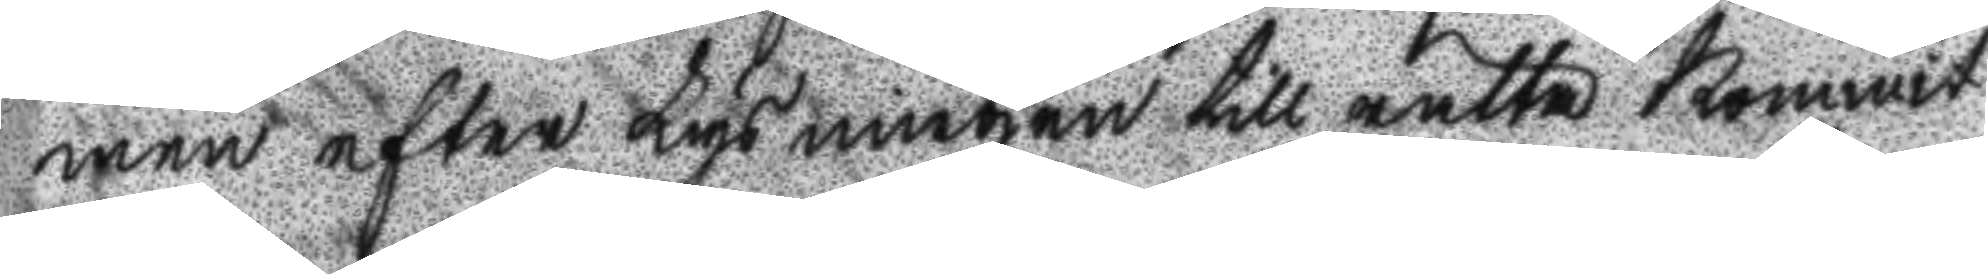men efter Lysningen till rätta kommit
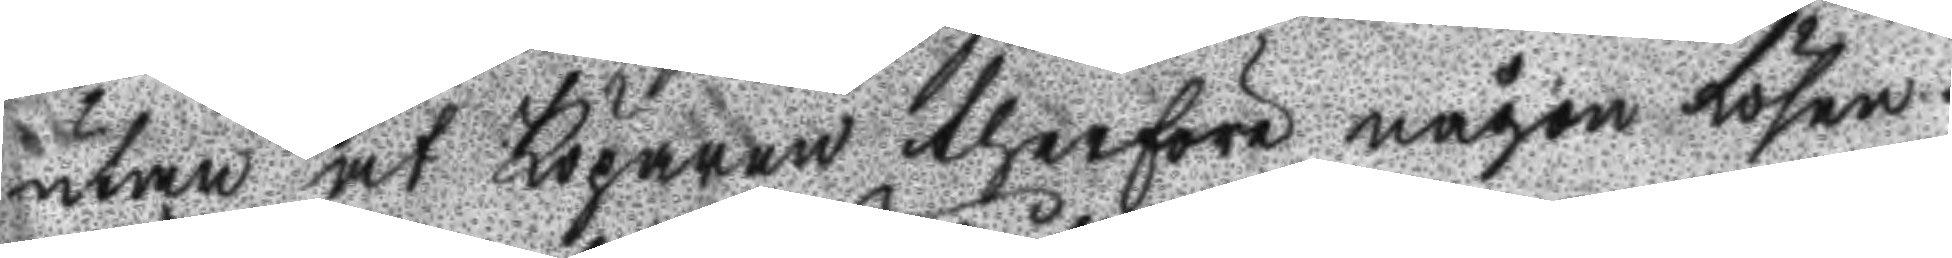utan at Köparen therföre någon lösen
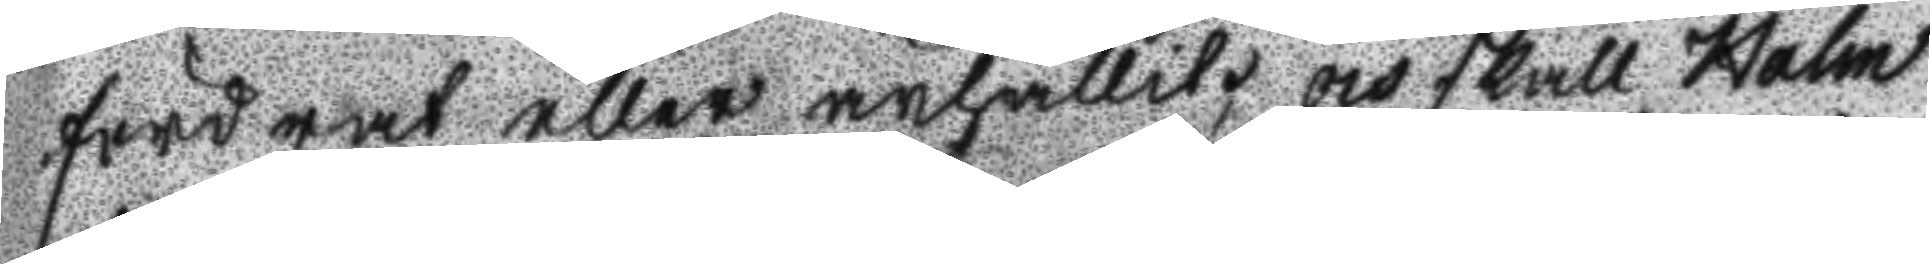fordrat eller ärhållit, och skall Holm
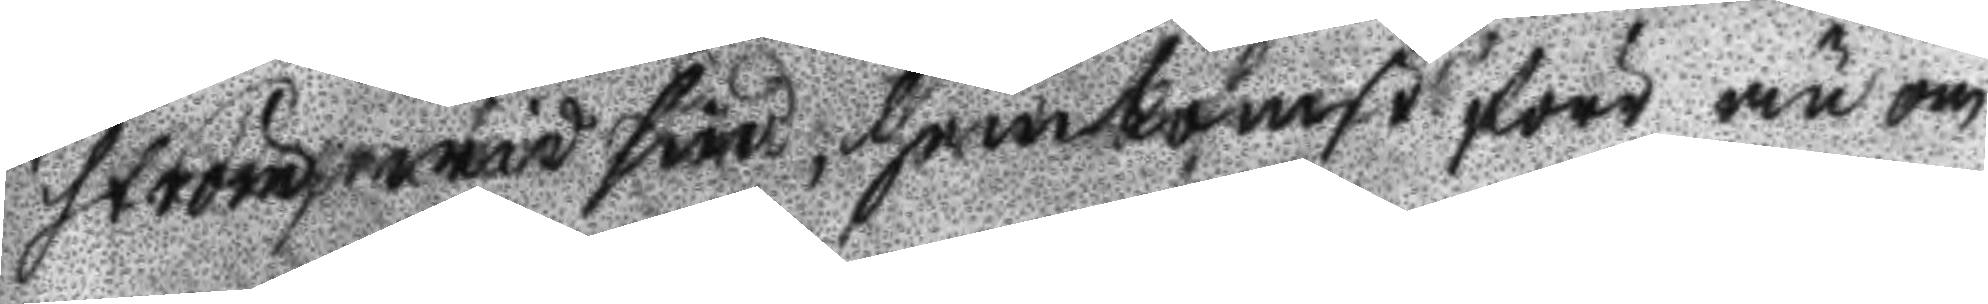ström wid sin hemkomst förr än om
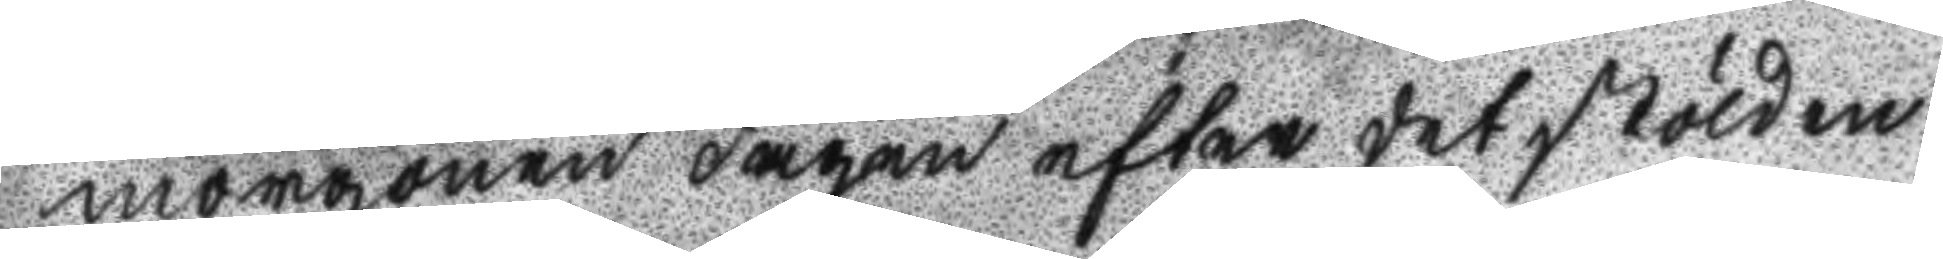morgonen dagen efter det stölden
